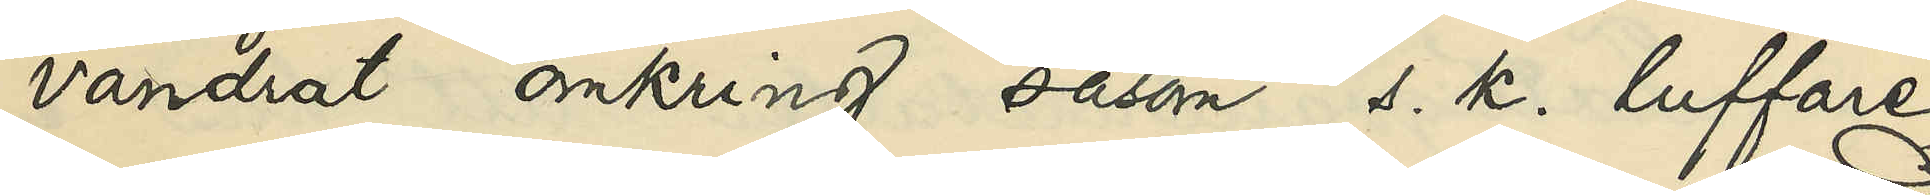vandrat omkring såsom s. k. luffare
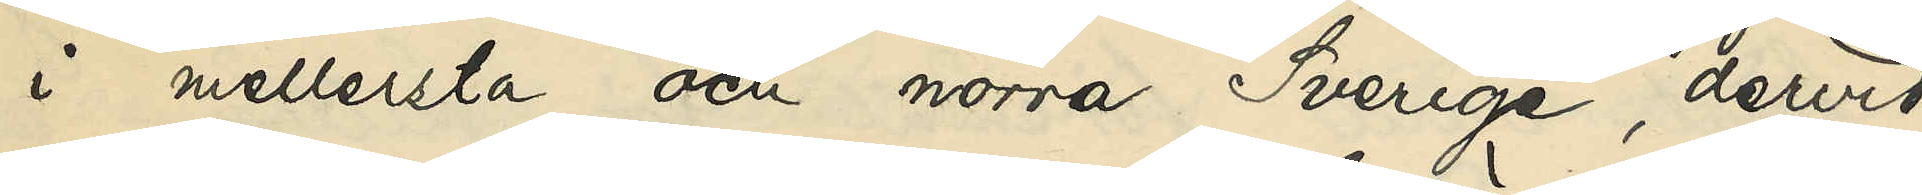i mellersta och norra Sverige, dervid
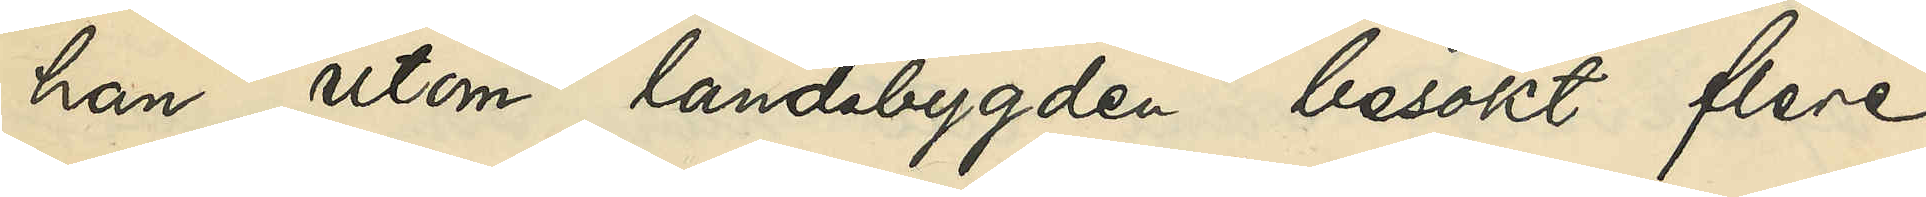han utom landsbygden besökt flere
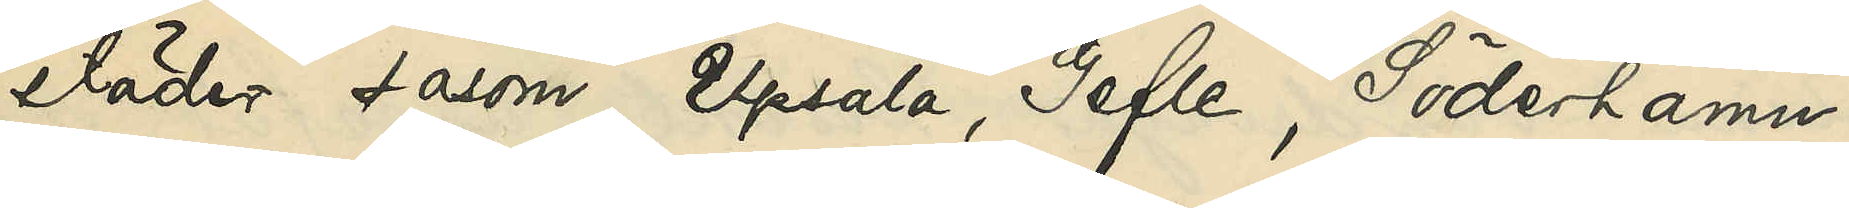städer, såsom Upsala, Gefle, Söderhamn,
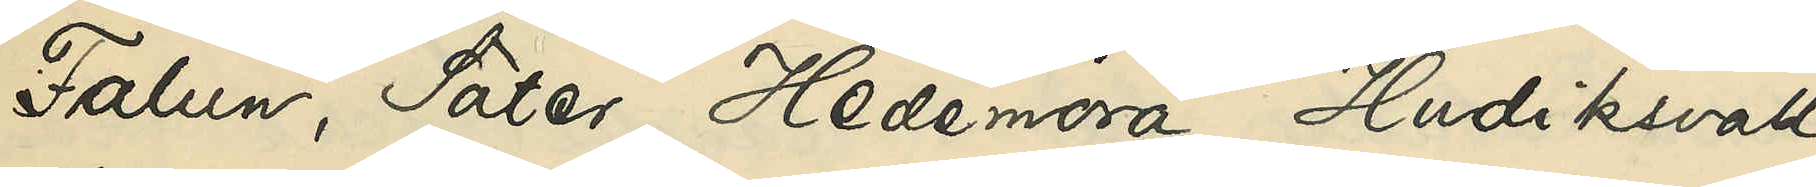Falun, Säter, Hedemora, Hudiksvall,
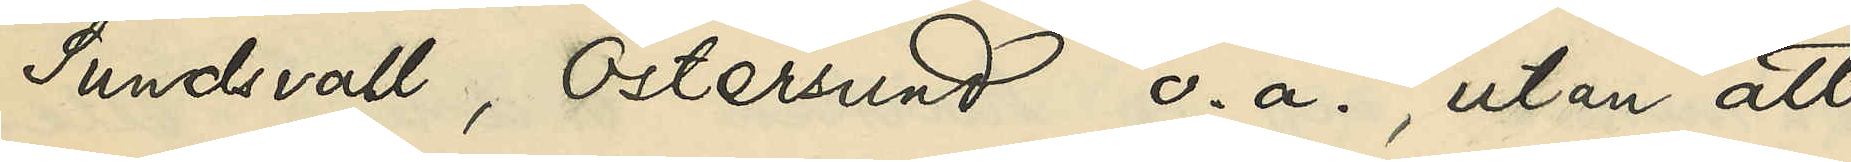Sundsvall, Östersund o. a., utan att
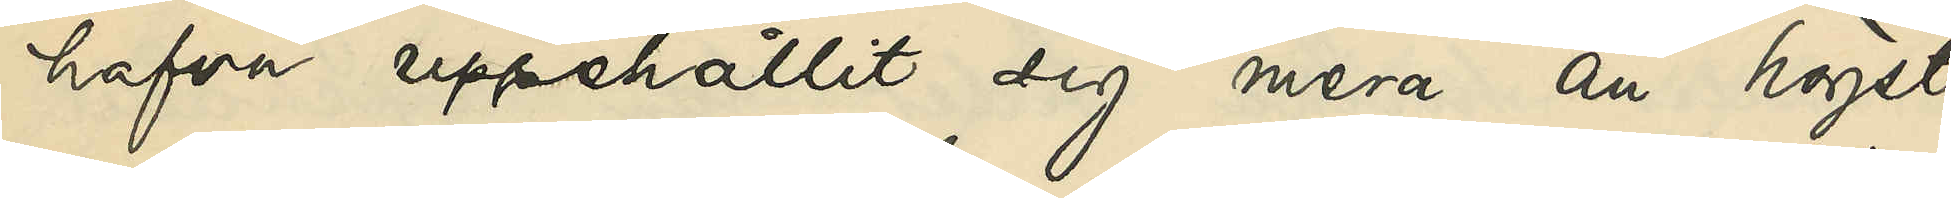hafva uppehållit sig mera än högst
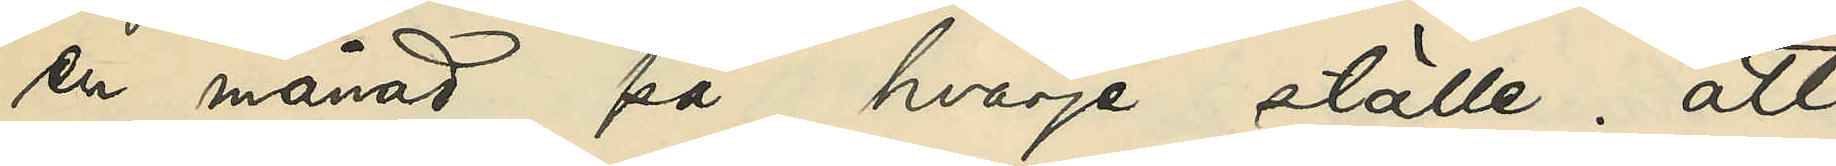en månad på hvarje ställe; att
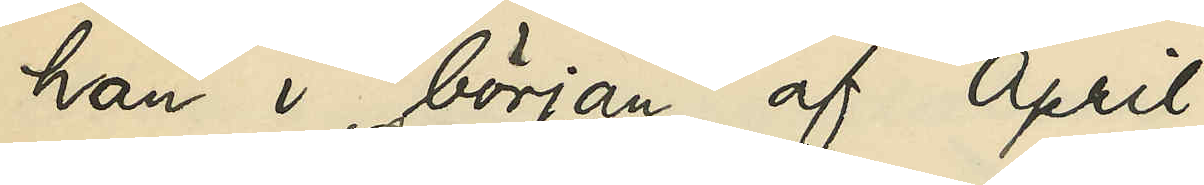han i början af April
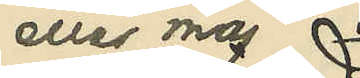eller maj
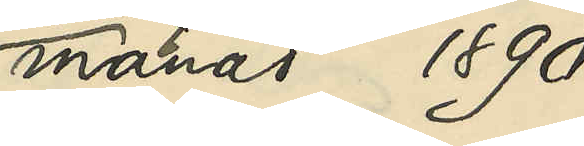månad 1890
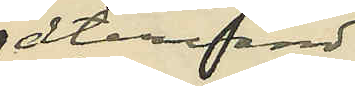återvändt
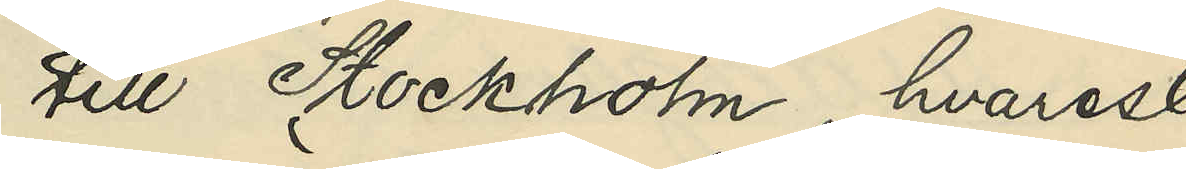till Stockholm, hvarest
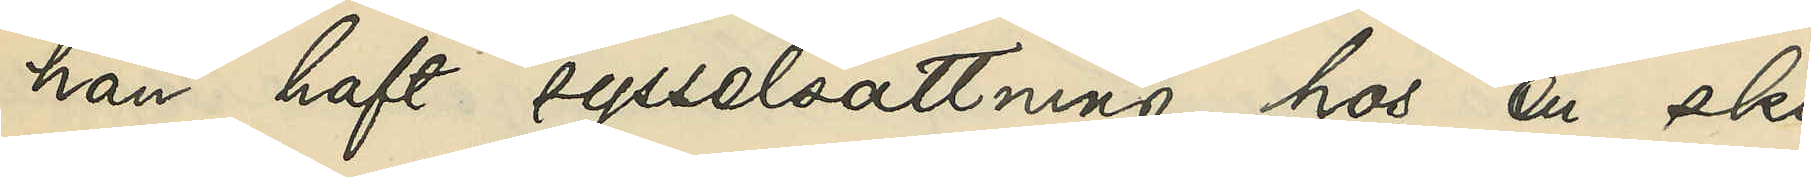han haft sysselsättning hos en sko¬
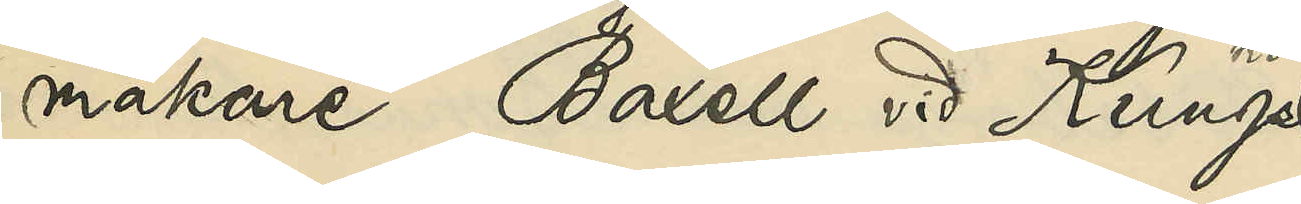makare Baxell vid Kungs¬
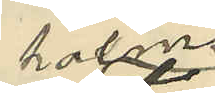holms
